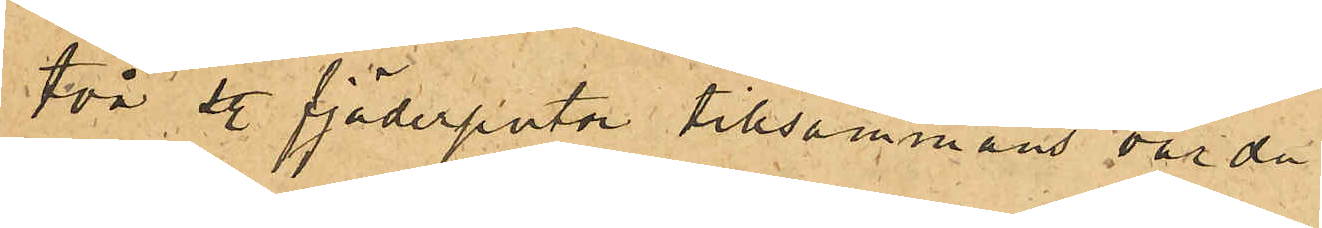två sty. fjäderputor tillsammans värde
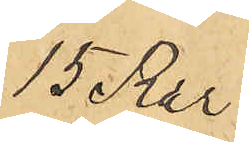15 Rdr
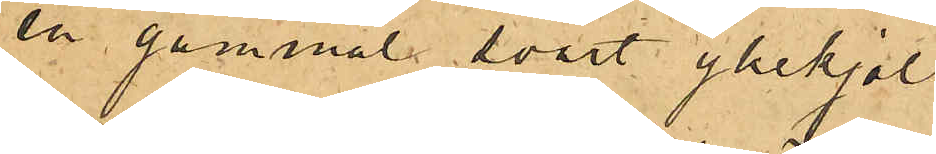en gammal svart yllekjol
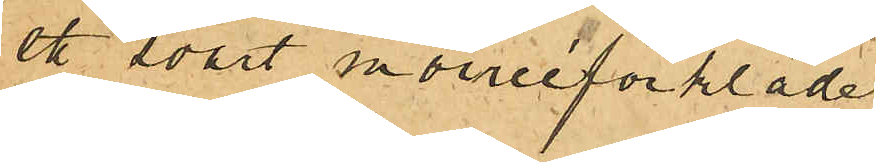ett svart moiréeförkläde
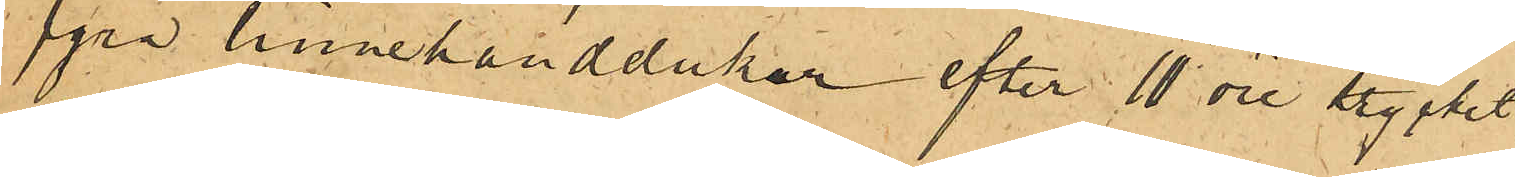fyra linnehanddukar efter 10 öre stycket
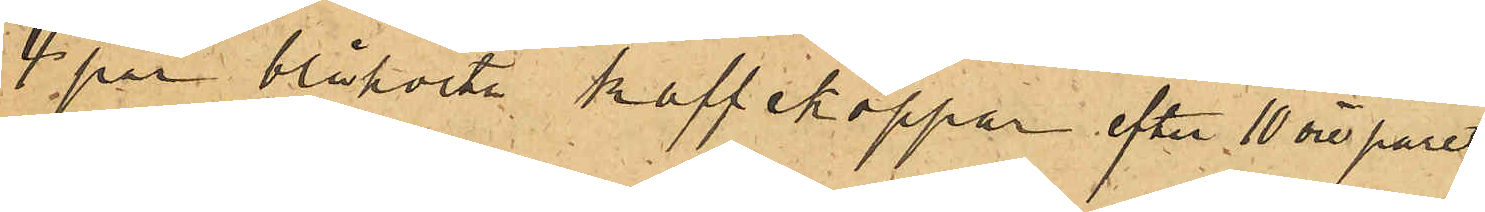4 par blåvita kaffekoppar efter 10 öre paret
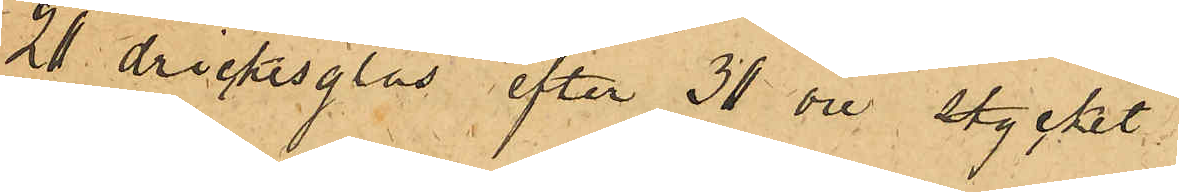20 dricksglas efter 30 öre stycket
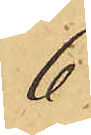6
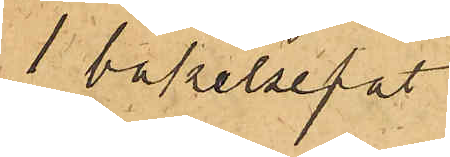1 bakelsefat
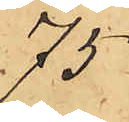75
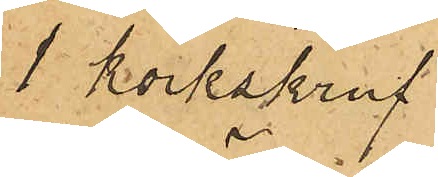1 korkskruf
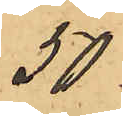50
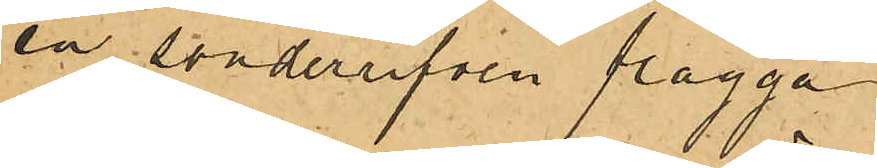en sönderrifven flagga
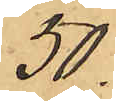50
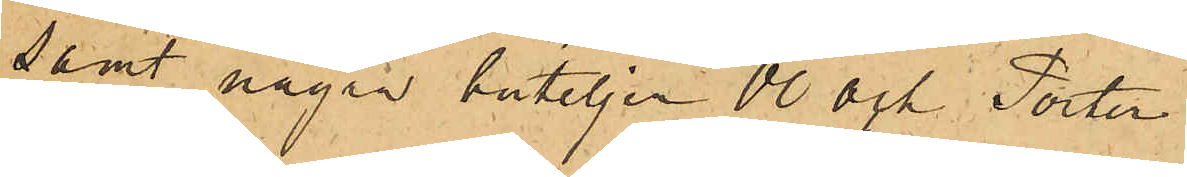samt några buteljer Öl och Porter.
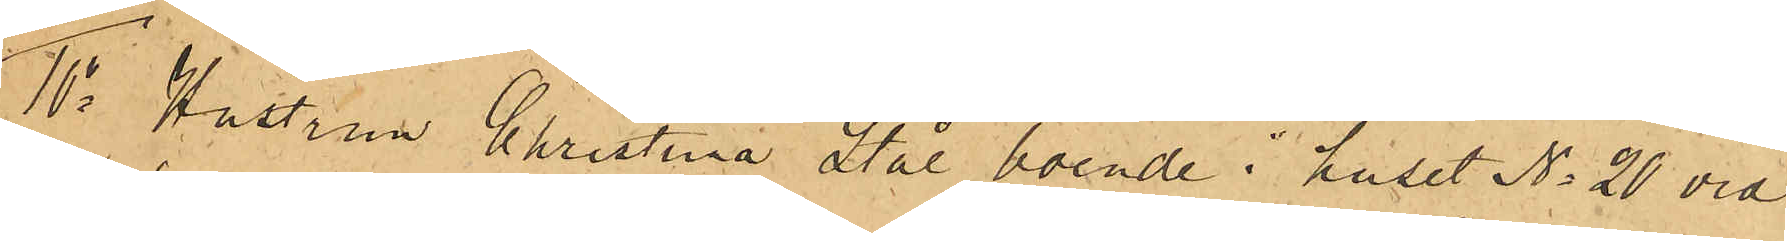10o Hustrun Christina Stål, boende i huset No 20 vid
